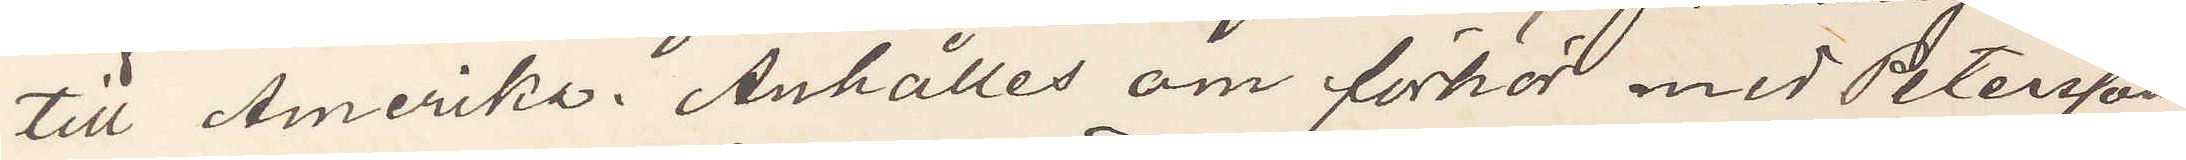till Amerika. Anhålles om förhör med Petersson
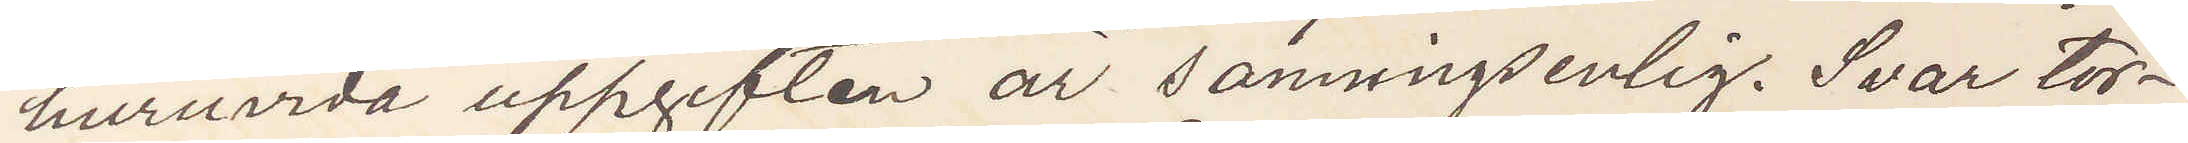huruvida uppgiften år sanningsenlig. Svar tor¬
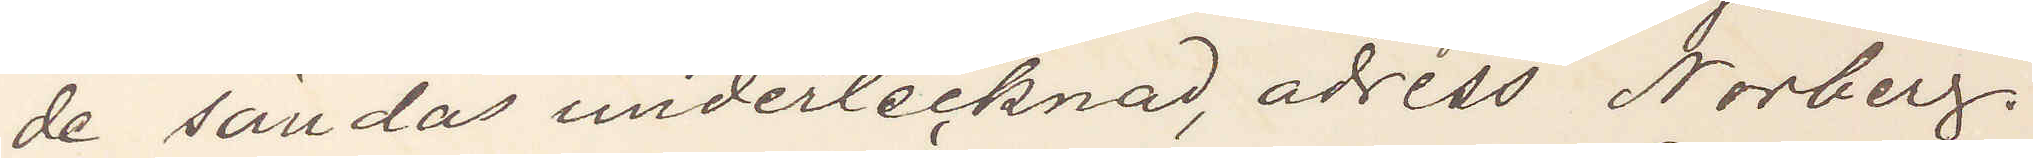de sändas undertecknad, adress Norberg.
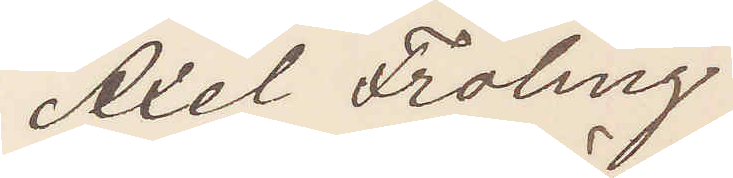Axel Fröling
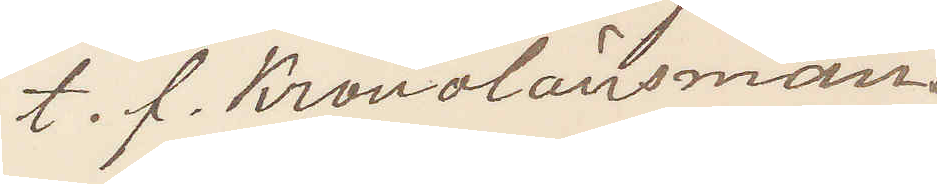t. f. Kronolänsman.
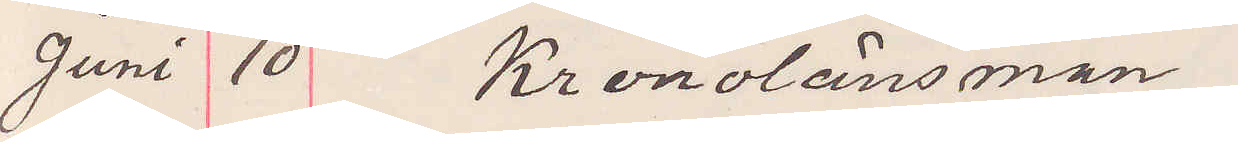Juni 10 Kronolänsman
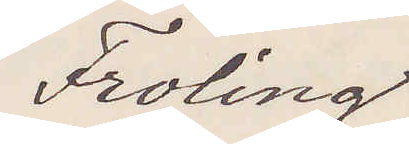Froling
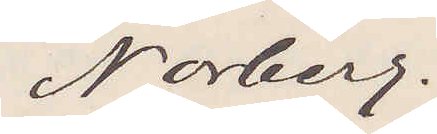Norberg.
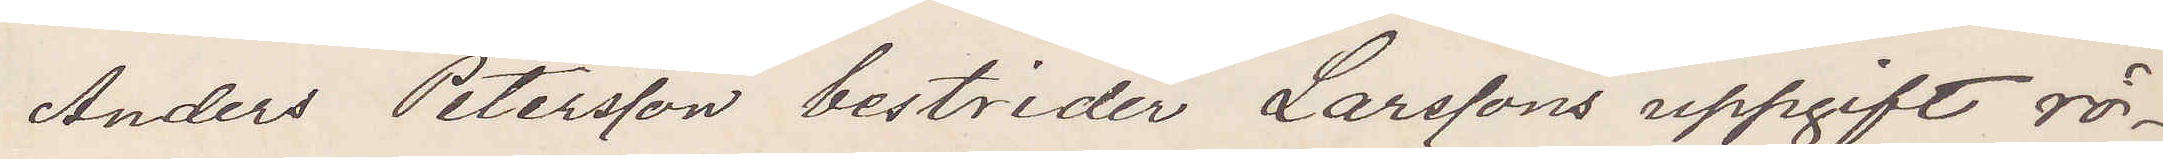Anders Petersson bestrider Larssons uppgift rö¬
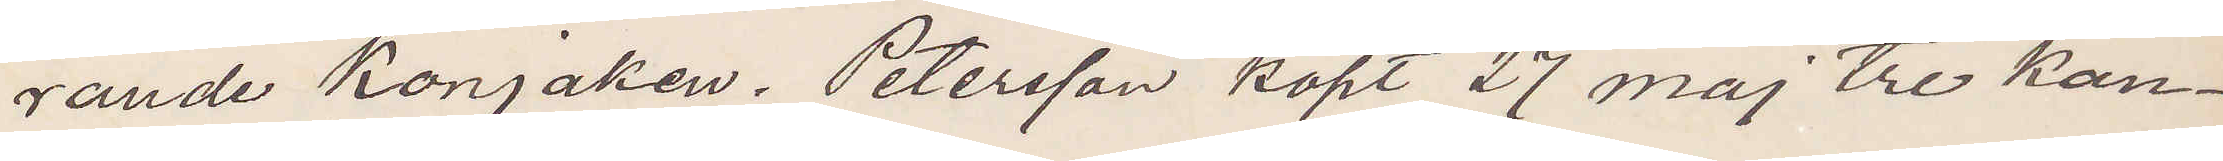rande Konjaken. Petersson köpt 27 maj tre kon¬
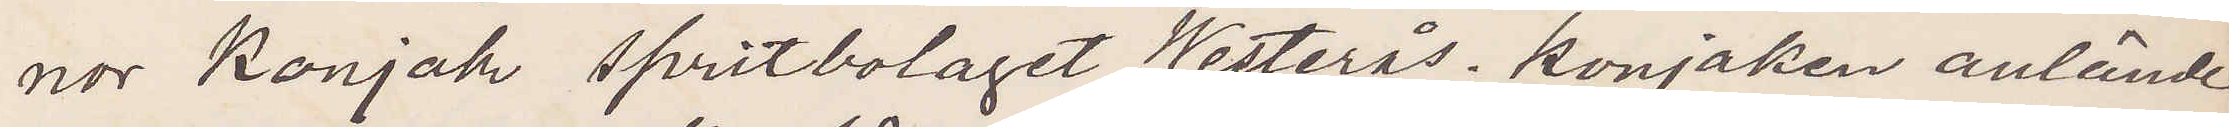nor Konjak spritbolaget Westerås konjaken anlände
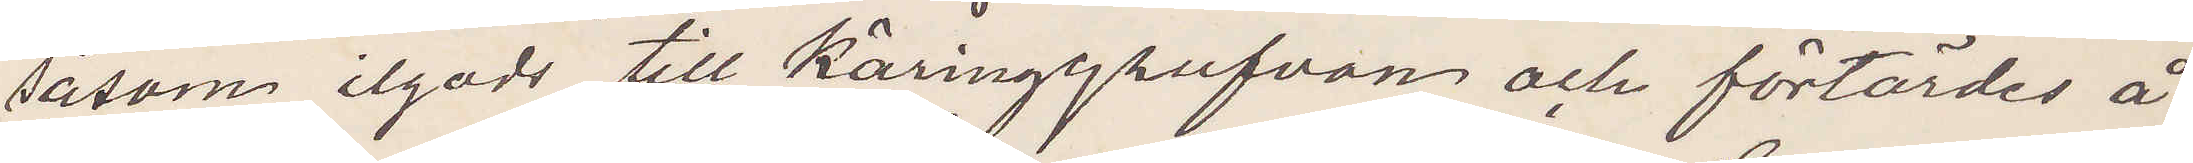såsom ilgods till Käringgrufvan och förtärdes å
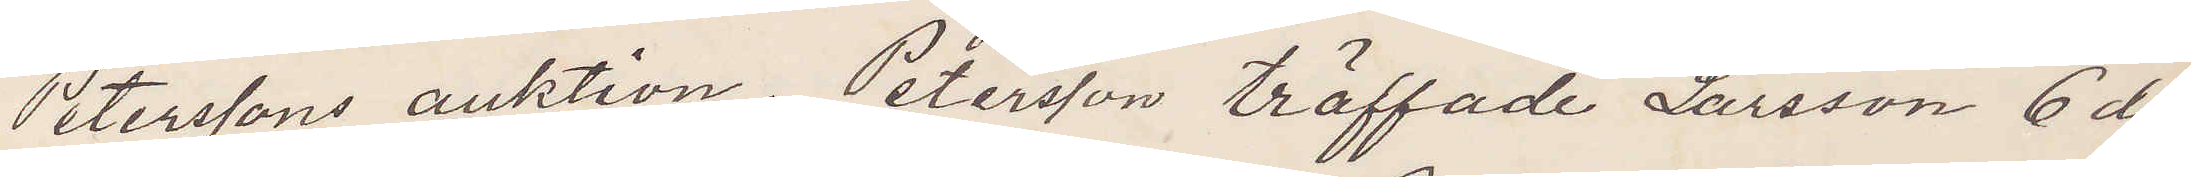Peterssons auktion. Petersson träffade Larsson 6 den¬
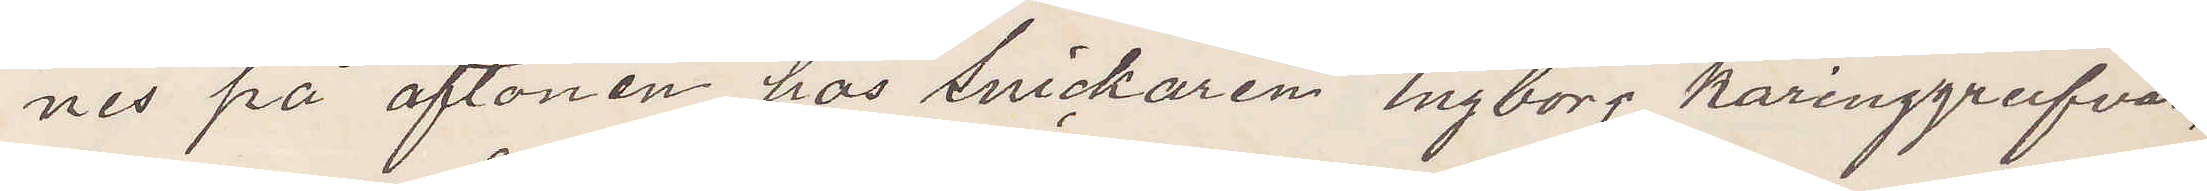nes på aftonen hos Snickaren Engborg käringgrufvan,
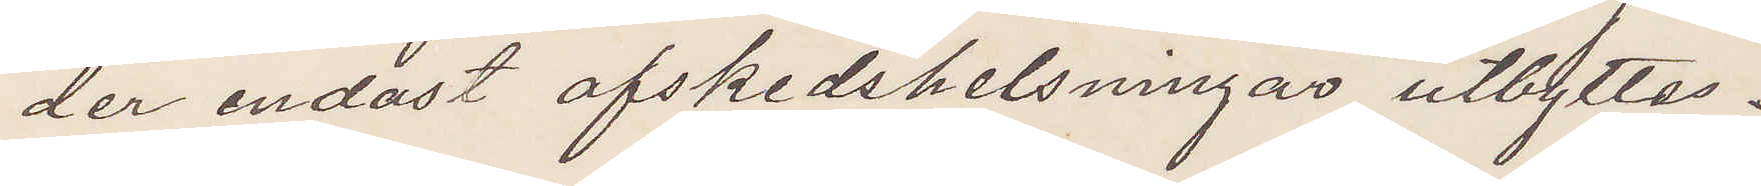der endast afskedshelsningar utbyttes.
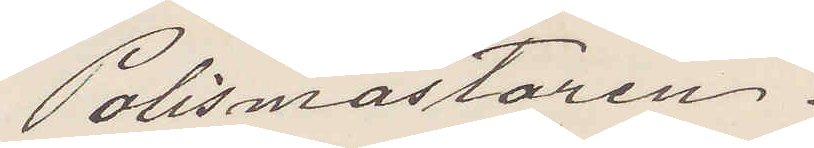Polismästaren.
